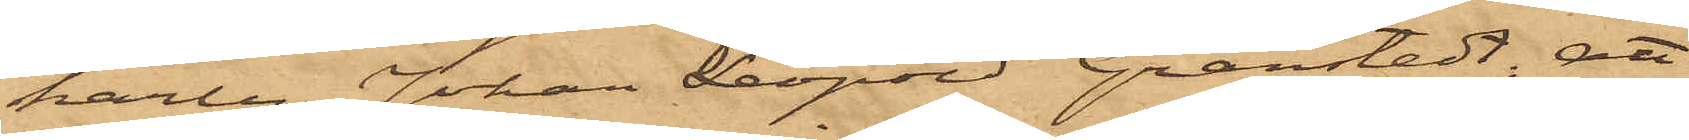karlen Johan Leopold Granstedt, att
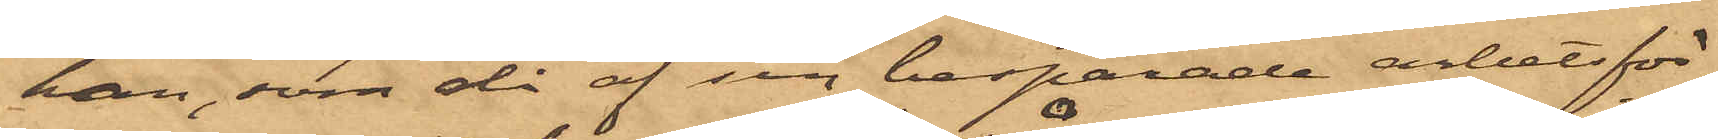han, som då af sin besparade arbetsför¬
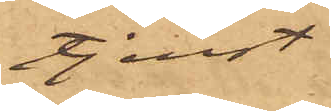tjenst
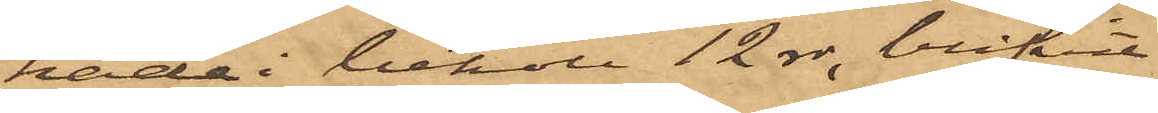hade i behåll 12 rdr, blifvit
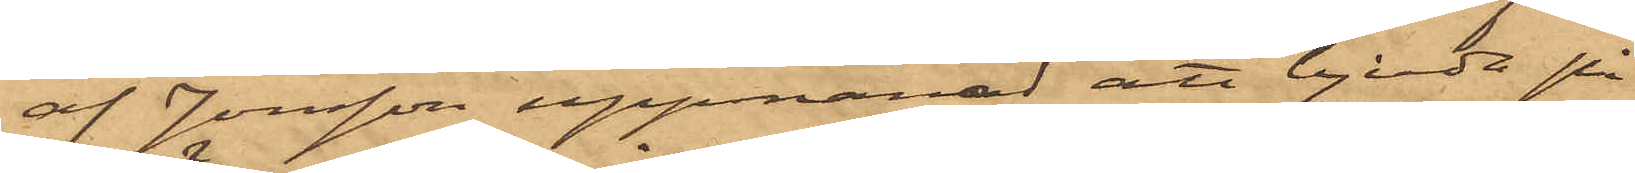af Jonsson uppmanad att bjuda på
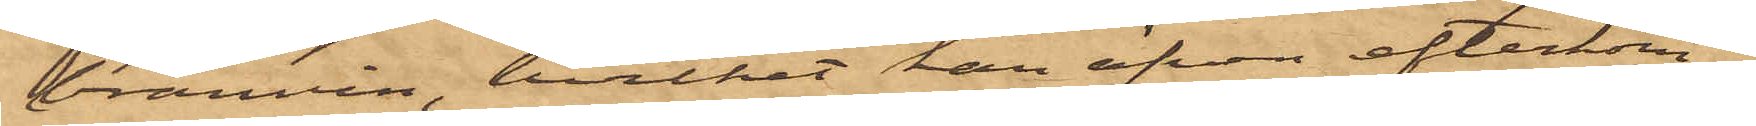bränvin, hvilket han äfven efterkom¬
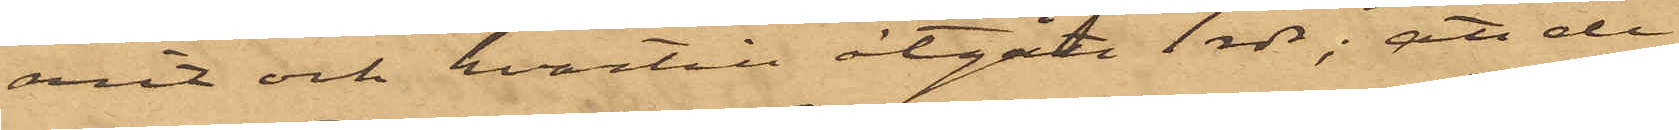mit och hvartill åtgått 1 rdr; att de
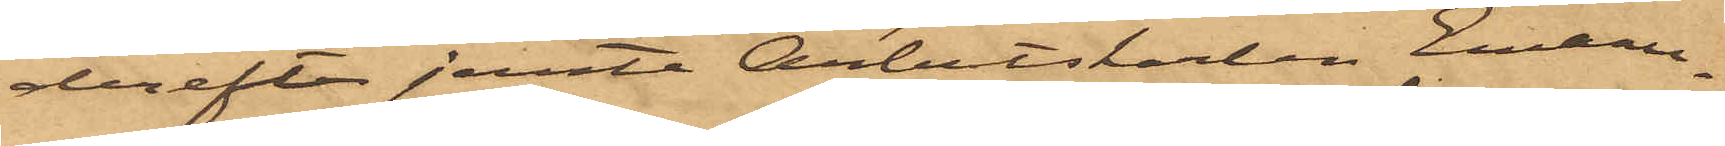derefter jemte Arbetskarlen Emanu¬
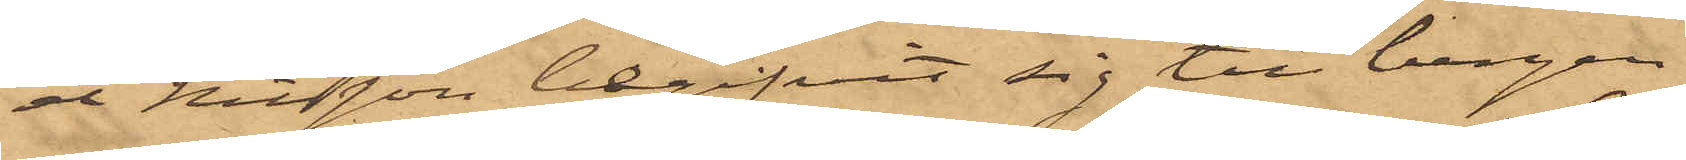el Nilsson begifvit sig till bergen
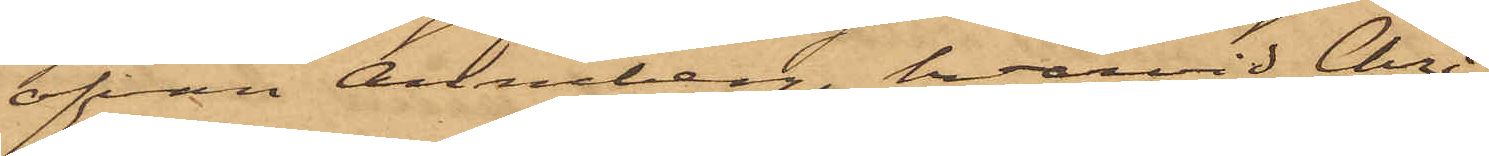ofvan Anneberg, hvarvid Chri¬
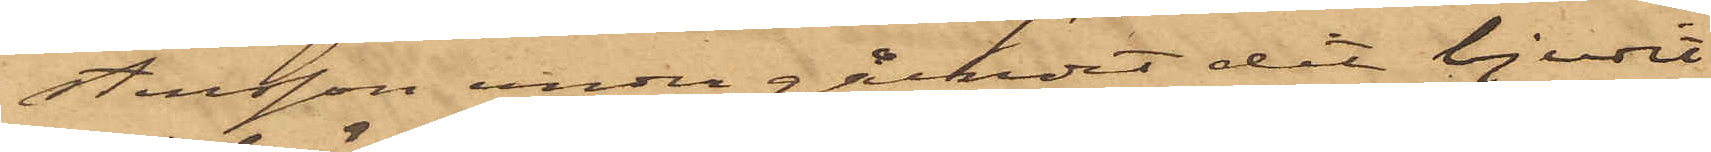stensson under gåendet dit bjudit
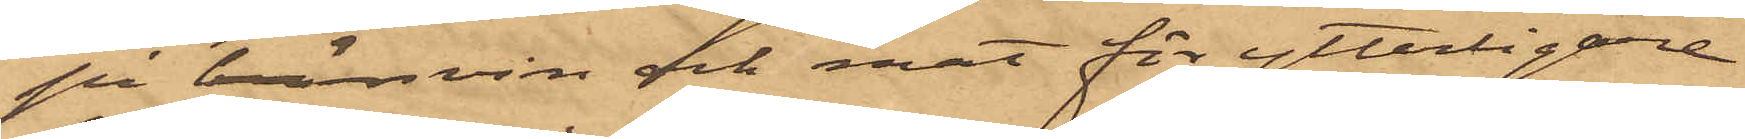på bränvin och mat för ytterligare
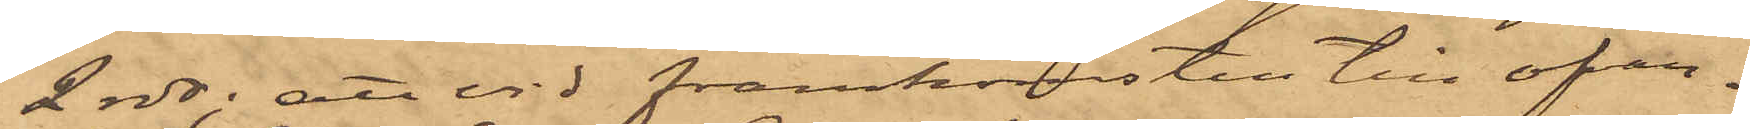2 rdr; att vid framkomsten till ofvan¬
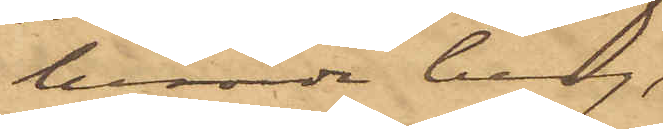berörde berg,
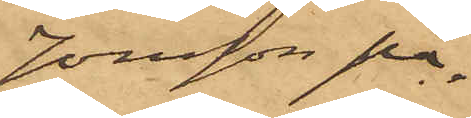Jonsson på¬
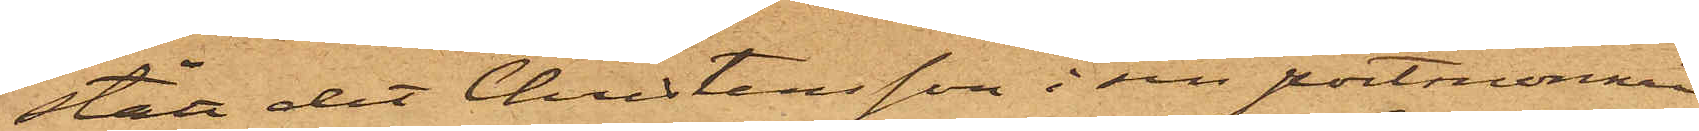stått det Christersson i sin portmonnai
